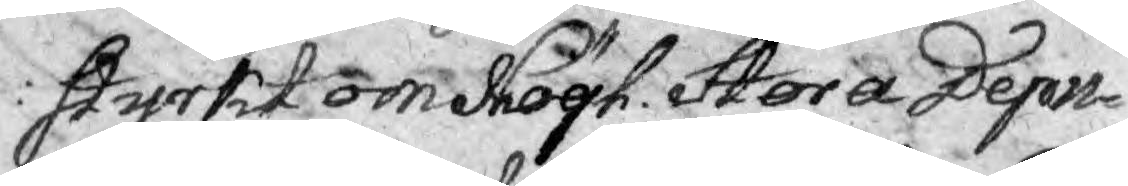styrkt om Högl. Stora Depu¬
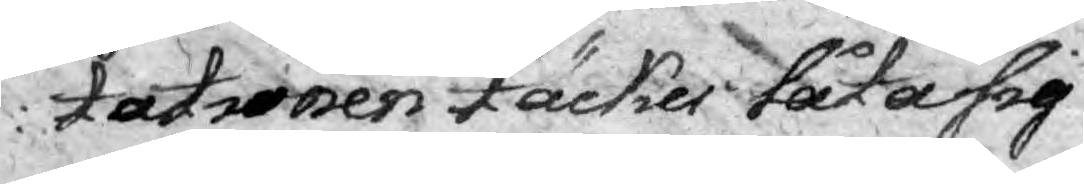tationen täckes låta sig
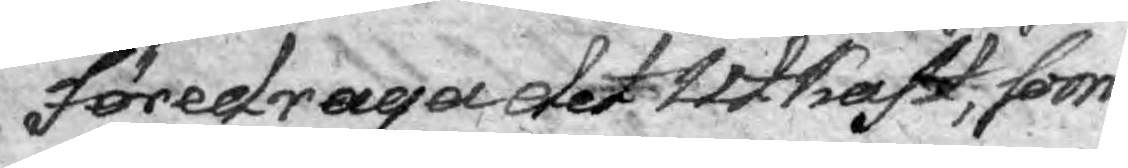föredraga det Utkast, som
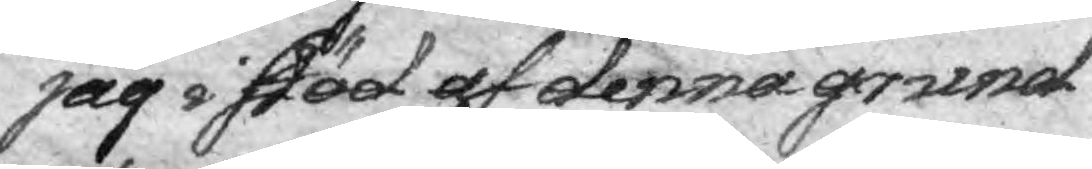jag i stöd af denna grund
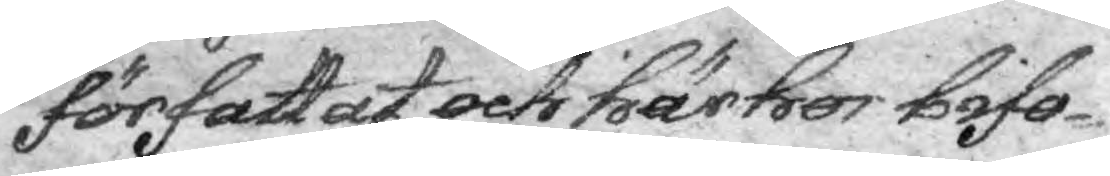författat och här hos bifo¬
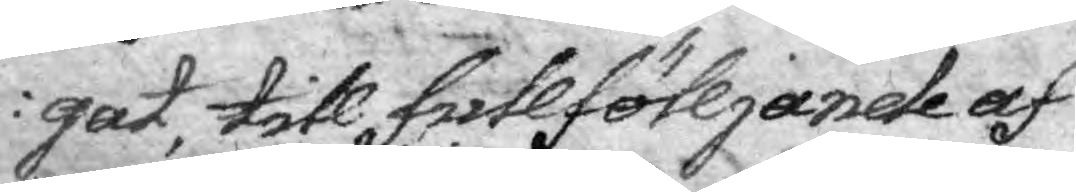gat, till fullföljande af
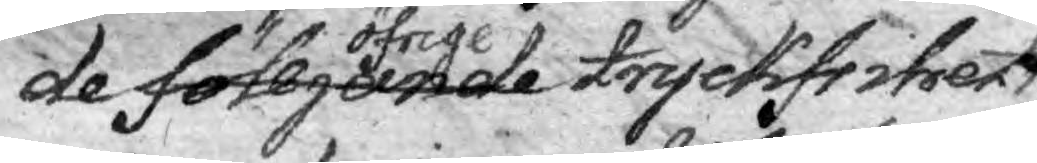de fölljande öfrige tryckfrihet 
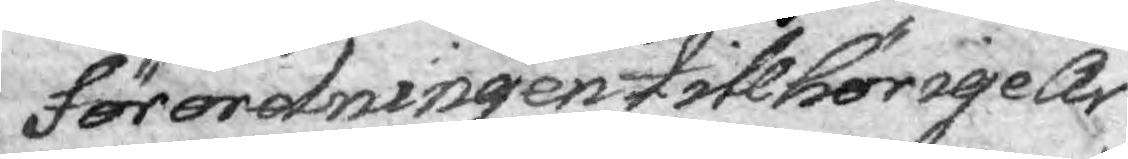Förordningen tillhörige Ar¬
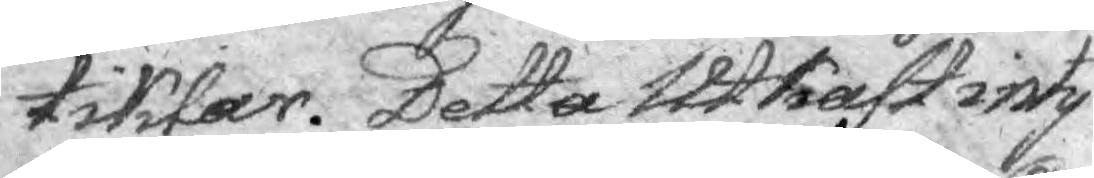tiklar. Detta Utkast inty¬
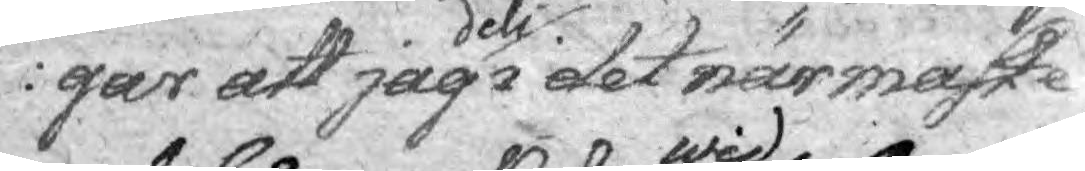gar att jag dels i det närmaste
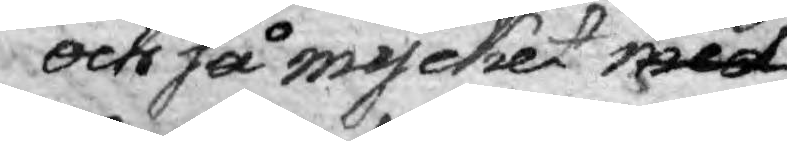och så mycket med wid stridige
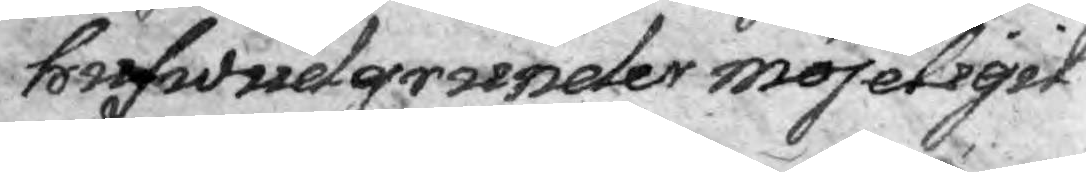hufwudgrunder möjeligit
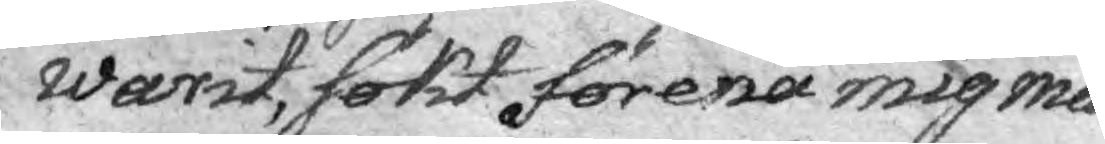warit, sökt förena mig med
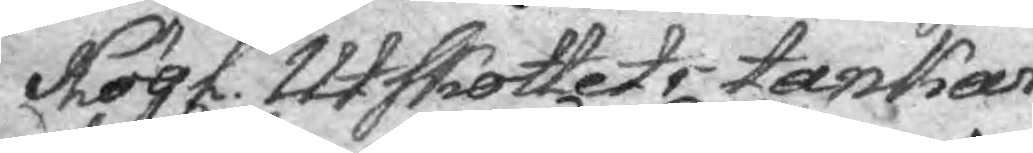Högl. Utskottets tankar, 
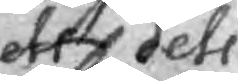dels dels
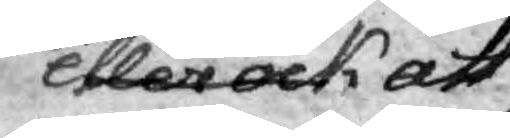eller och att
